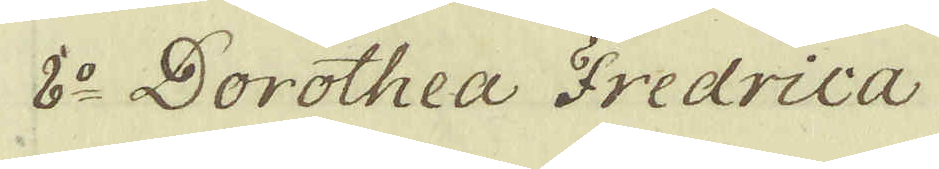8:o Dorothea Fredrica
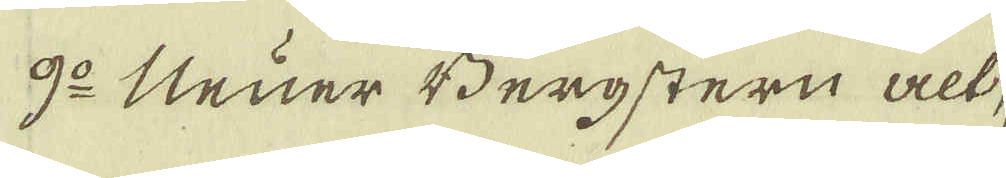9:o Neuer Bergstern alt,
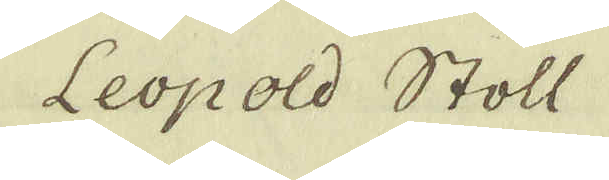Leopold Stoll
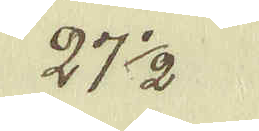27 1/2.
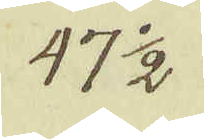47 1/2
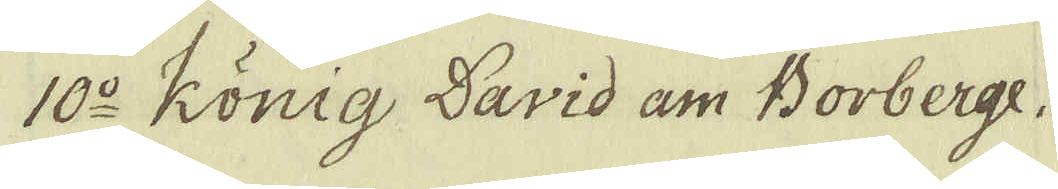10:o König David am Borberge.
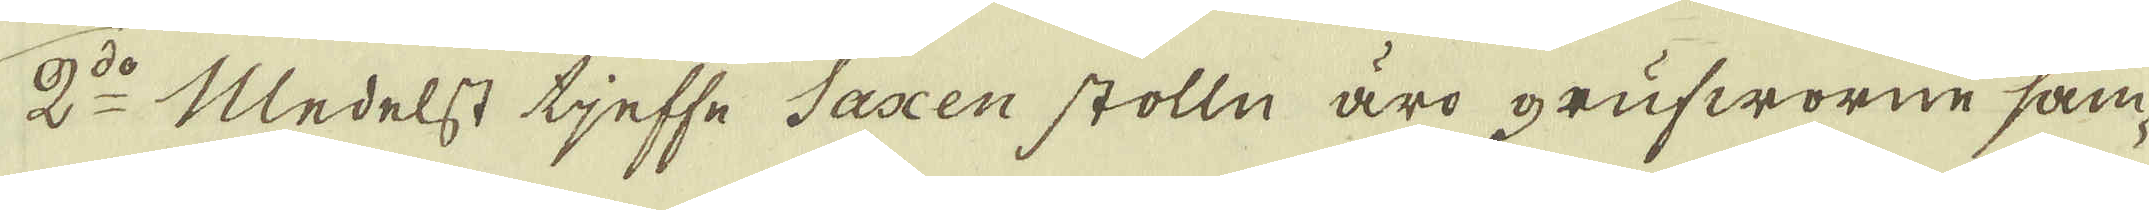2:do Medelst tjeffe Saxen stolln äro grufworne sam-
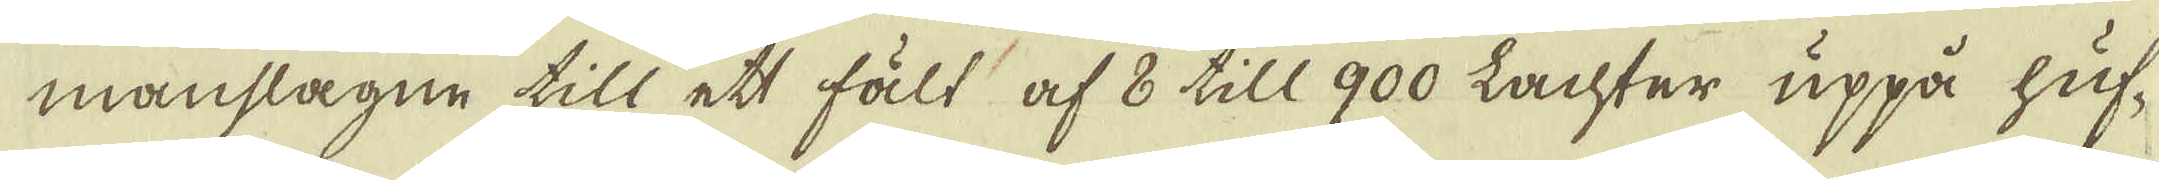manslagne till ett fält af 8 till 900 Lachter uppå huf-
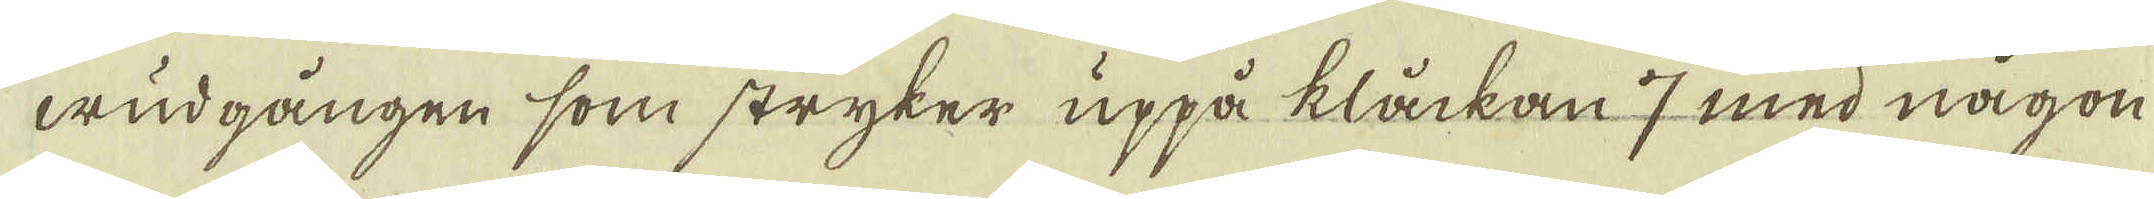wudgången som stryker uppå klåckan 7 med någon
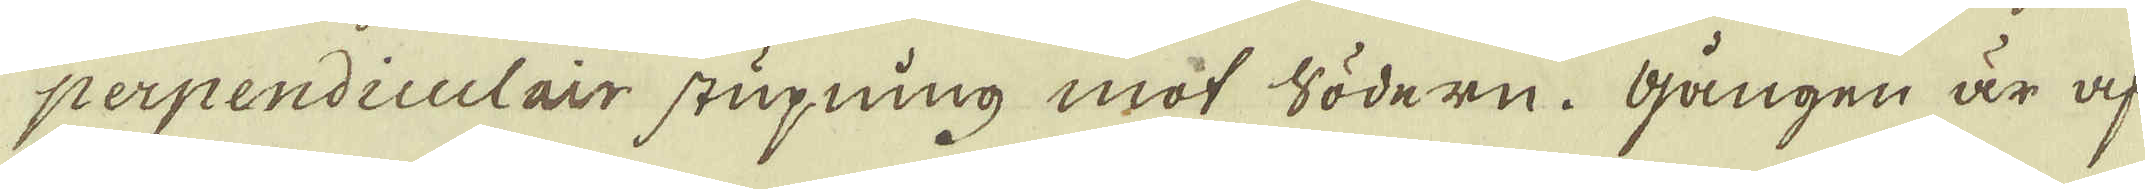perpendiculair stupning mot södern. Gången är af
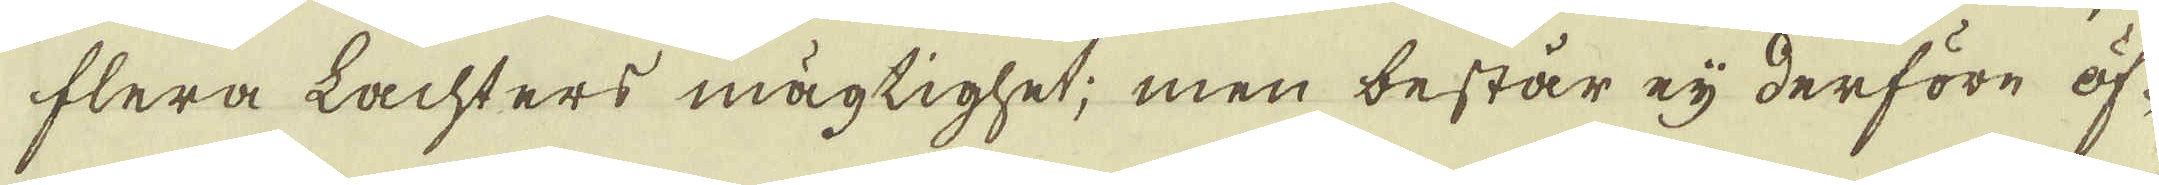flera Lachters mägtighet; men består eij derföre öf-
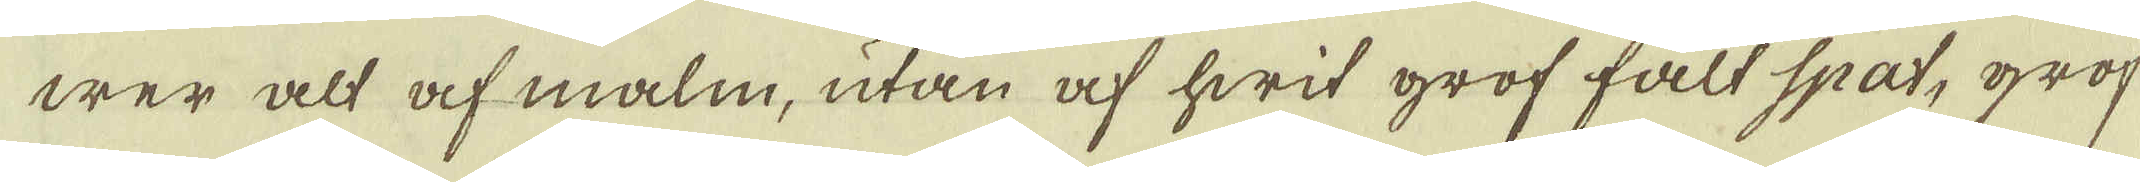wer alt af malm, utan af hwit grof fält spat, grof
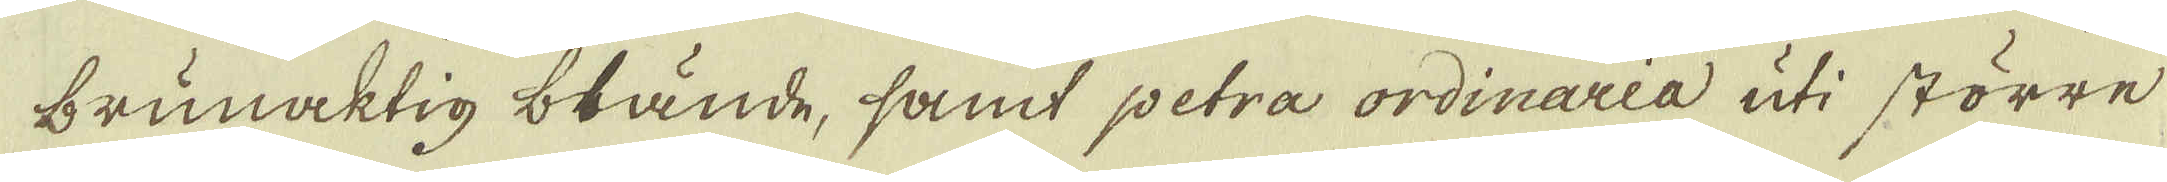brunaktig blände, samt petra ordinaria uti större
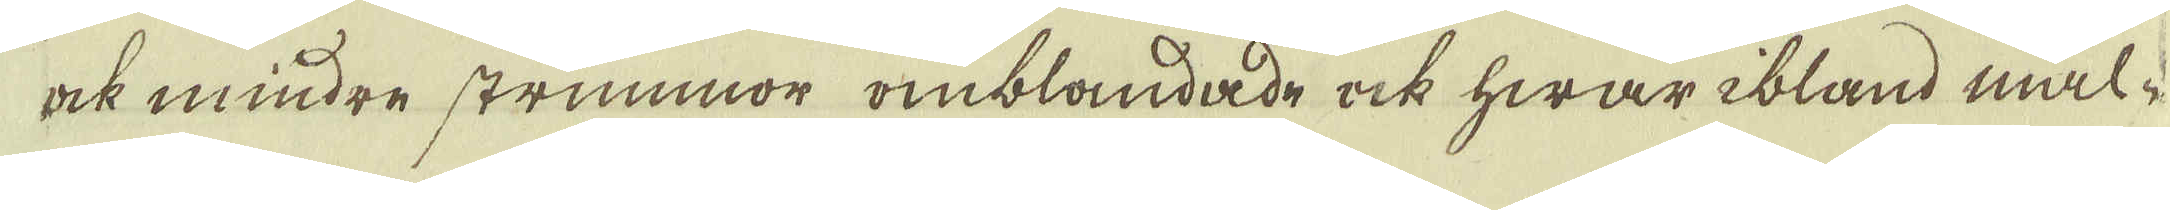ock mindre strummor omblandade ock hwar ibland mal-
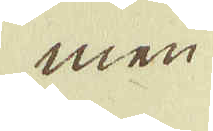men
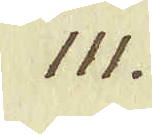111.
